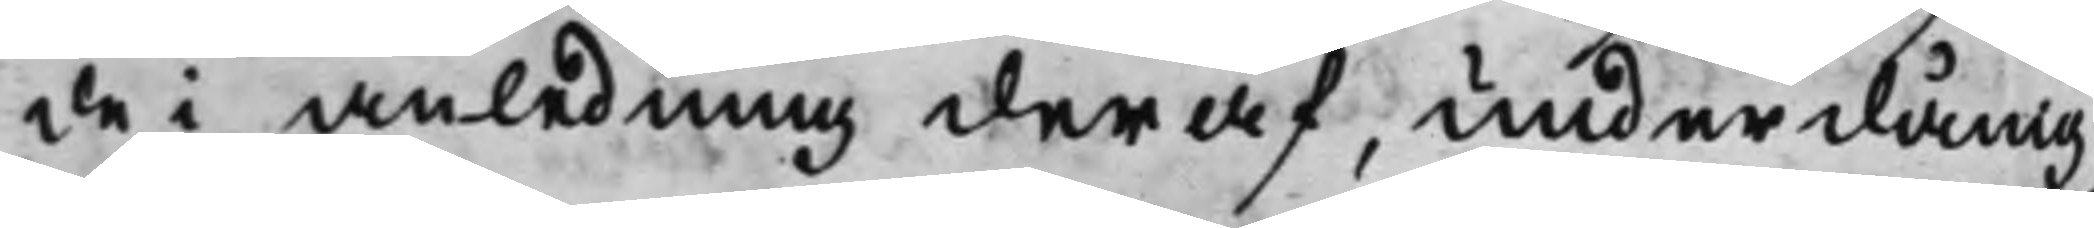de i anledning deraf, underdånig
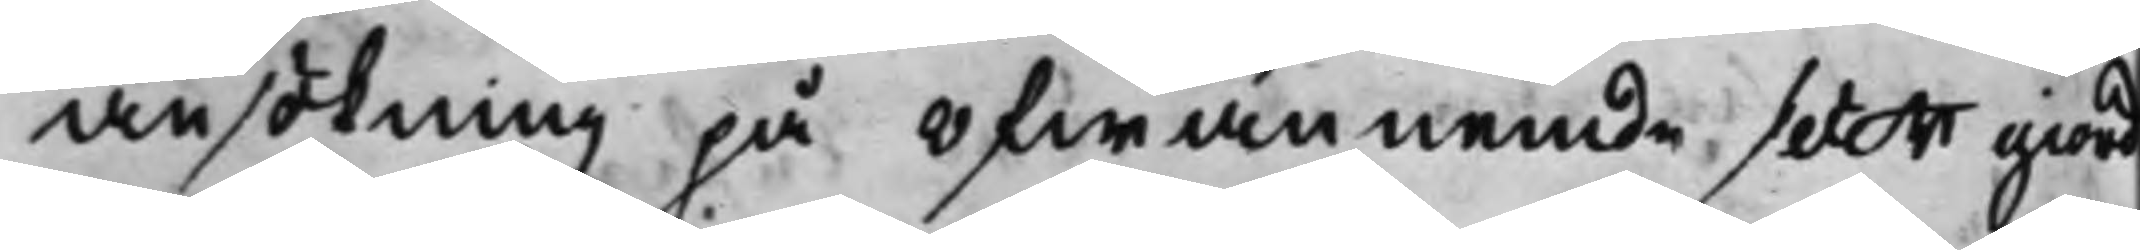ansökning på öfwannemde sätt giord
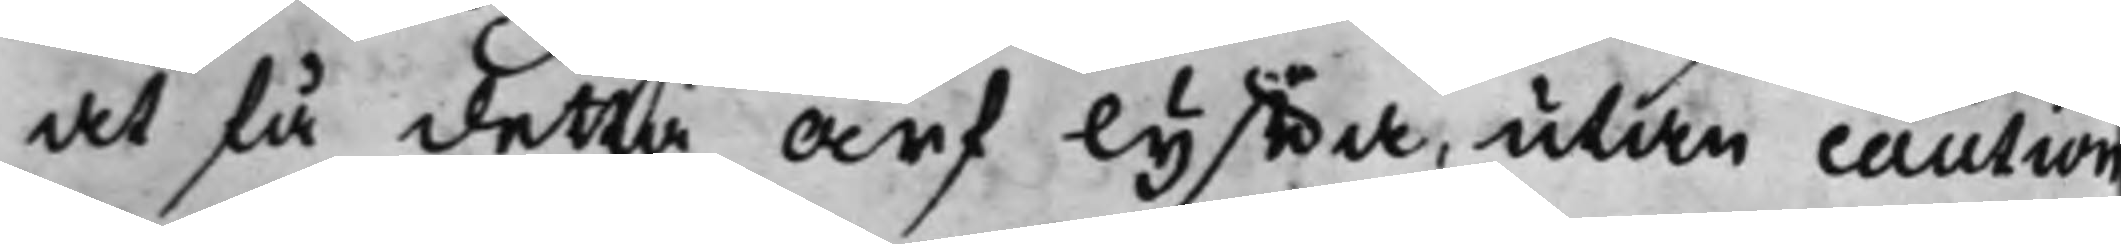at få detta arf lyffta, utan caution
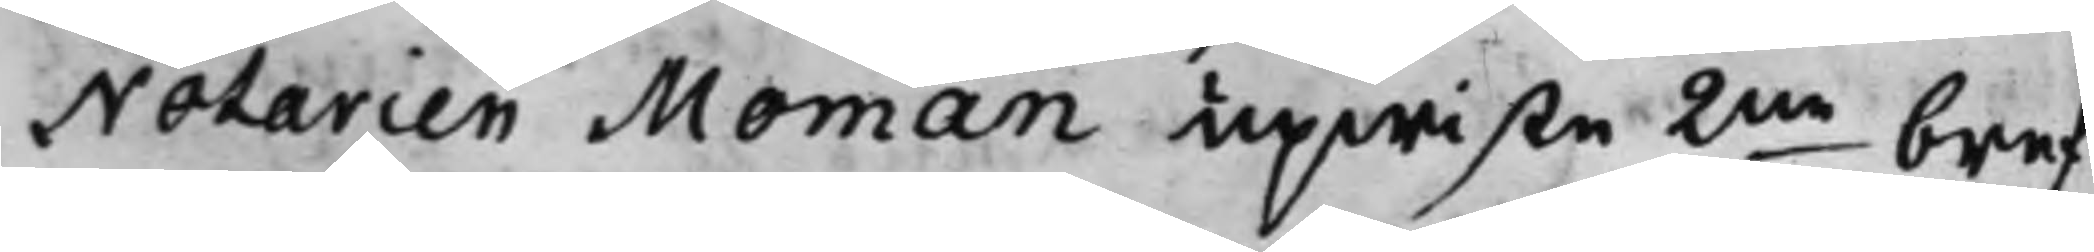Notarien Moman upwiste 2ne bref,
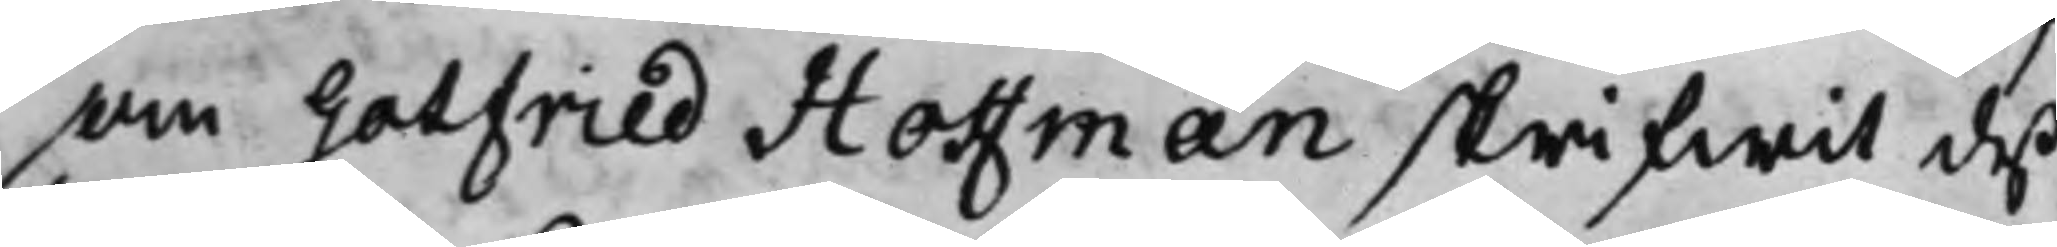som Gotfried Hoffman skrifwit deß
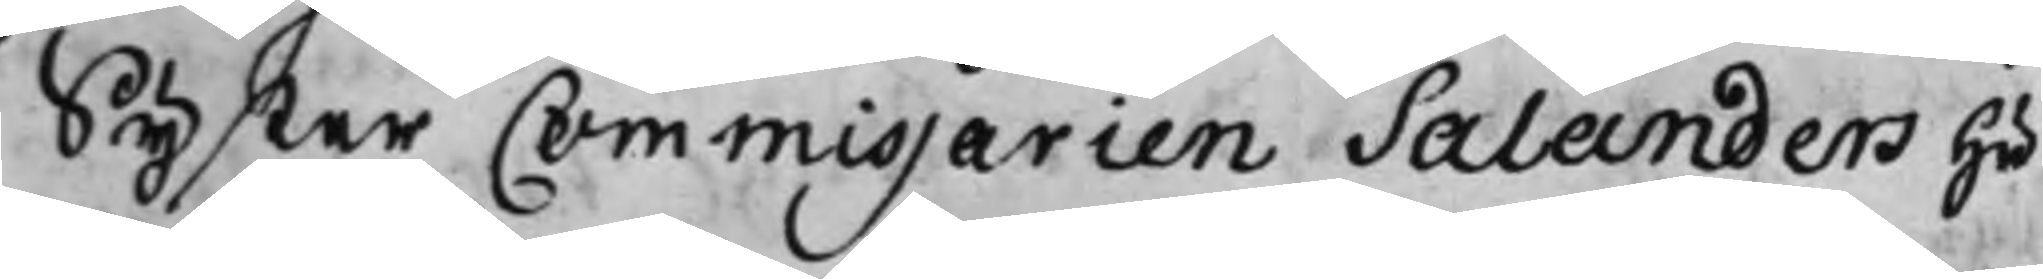Syster Commissarien Salanders Hu¬
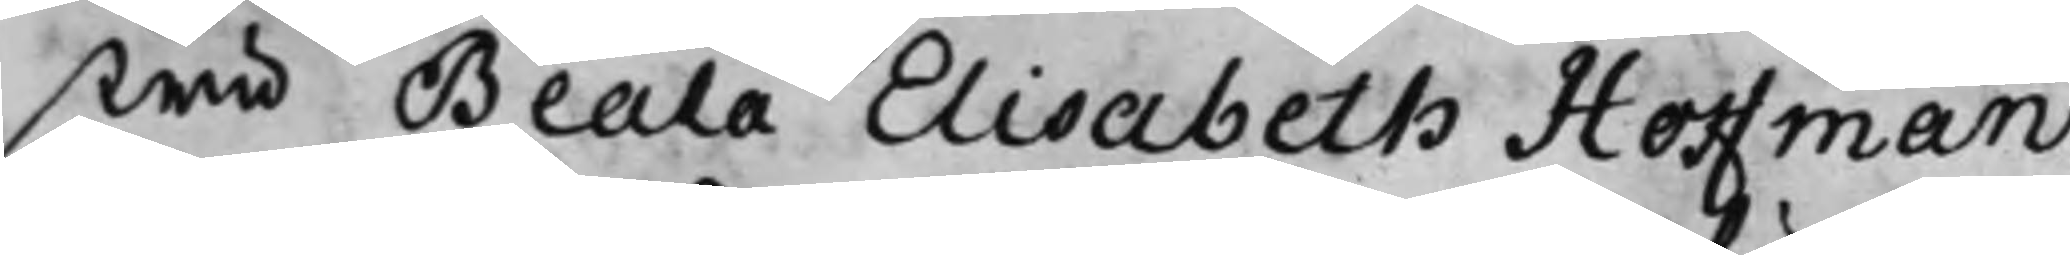stru Beala Elisabeth Hoffman
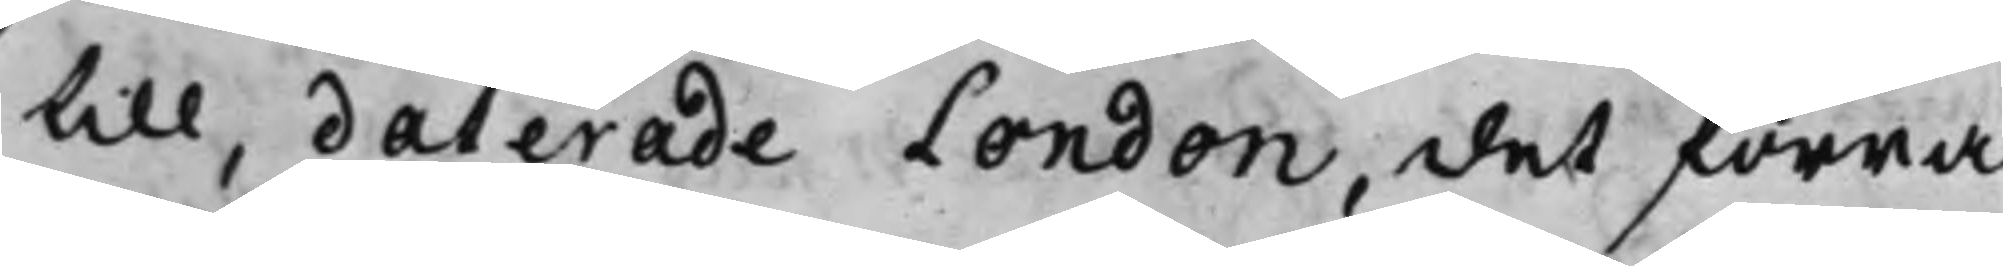till, daterade London, det förra
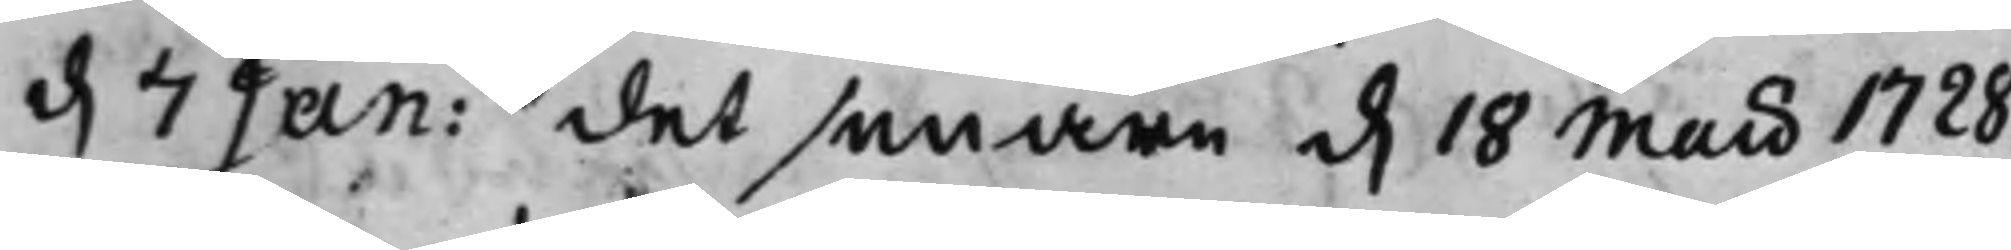d. 7 Jan: det senare d. 18 Maii 1728,
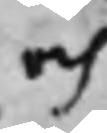och
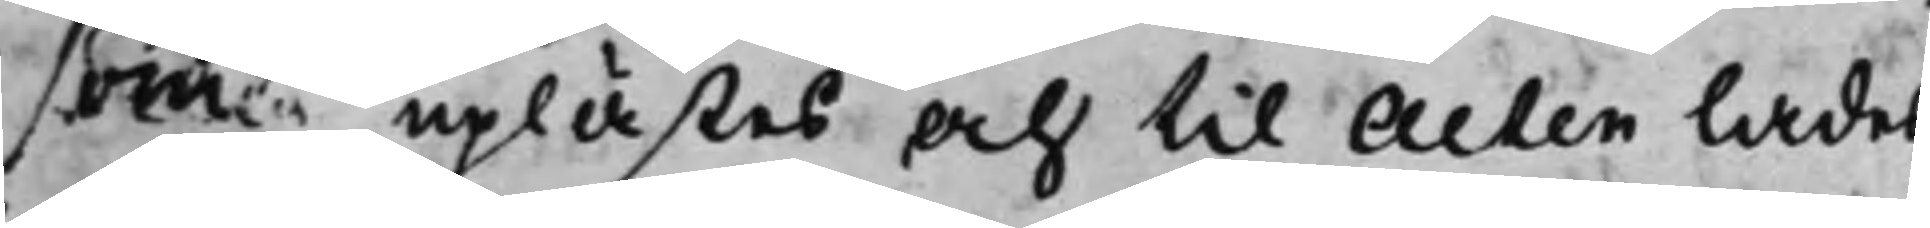som uplästes och til Acten lades,
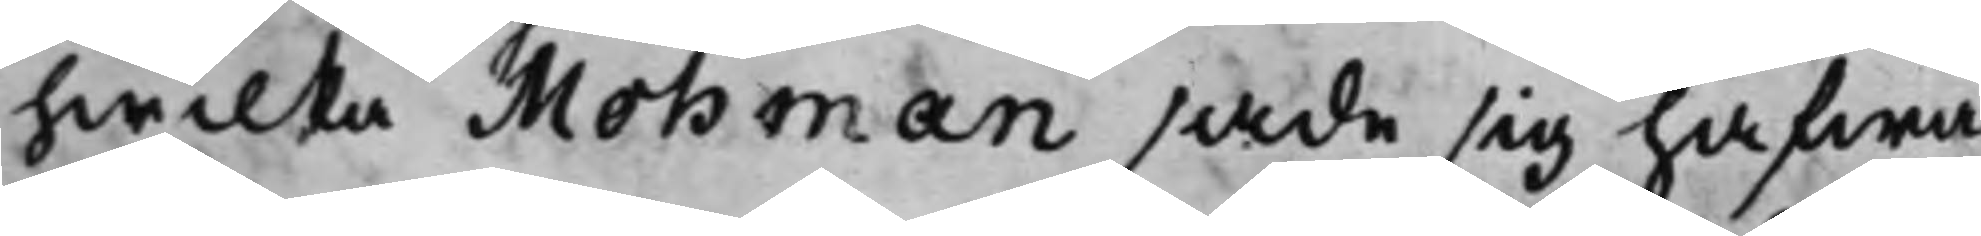hwilka Mohman sade sig hafwa
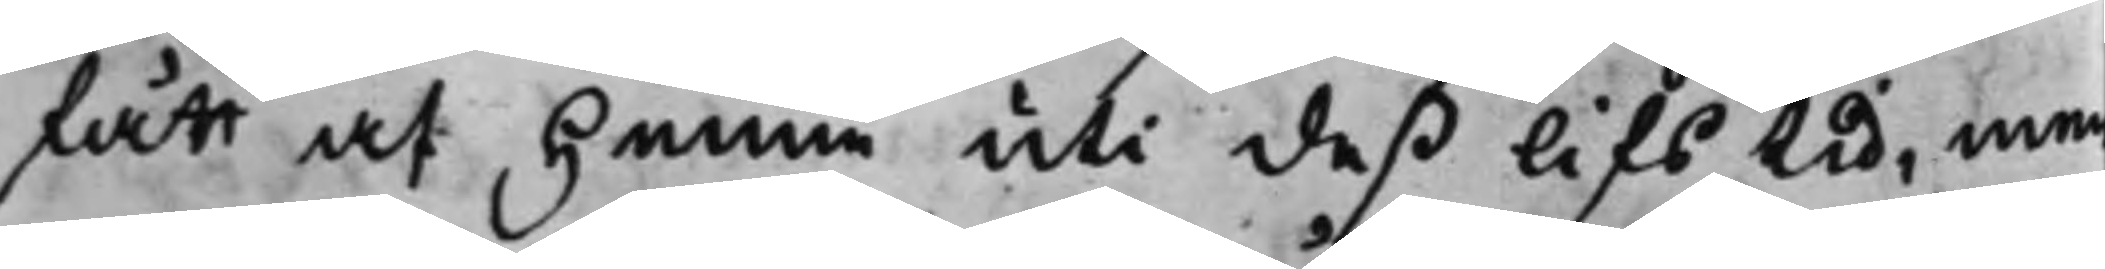fått at henne uti deß lifs Lid, men
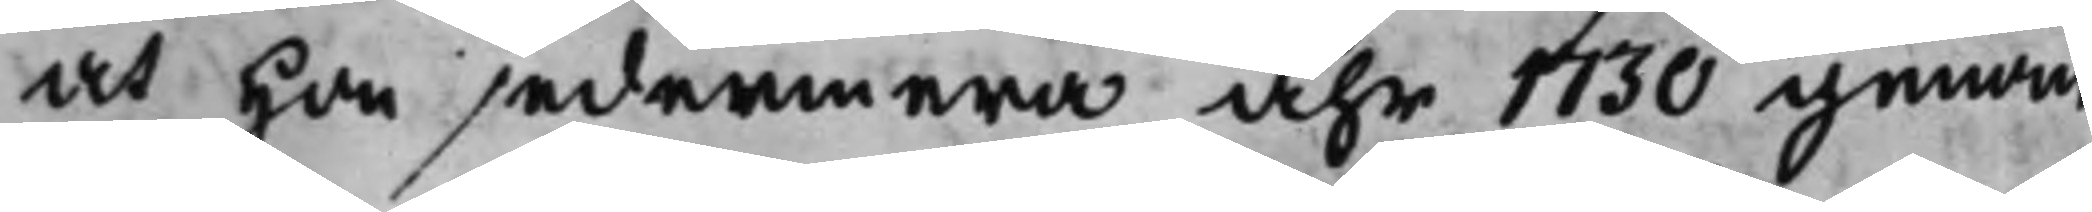at hon sedermera åhr 1730 genom
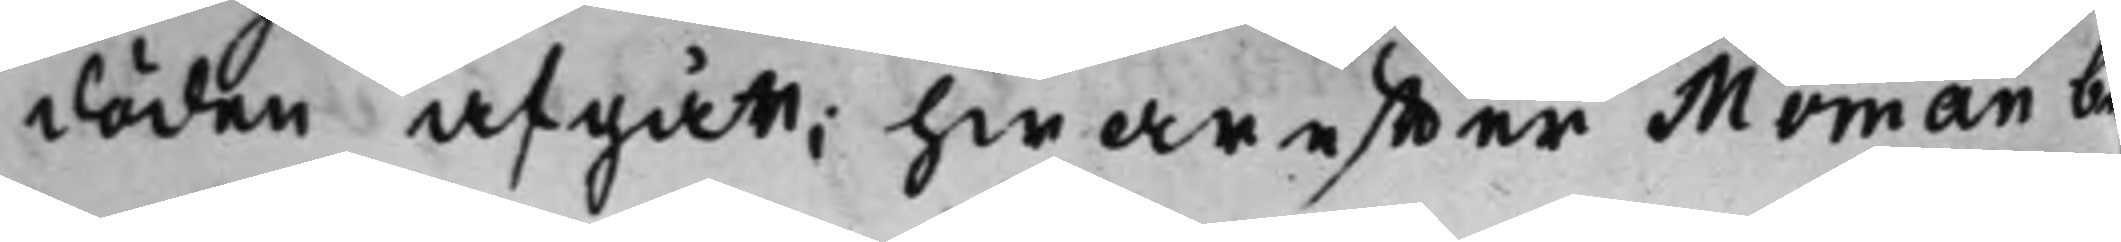döden afgått; hwareffter Moman be¬
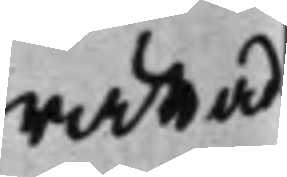rättad
